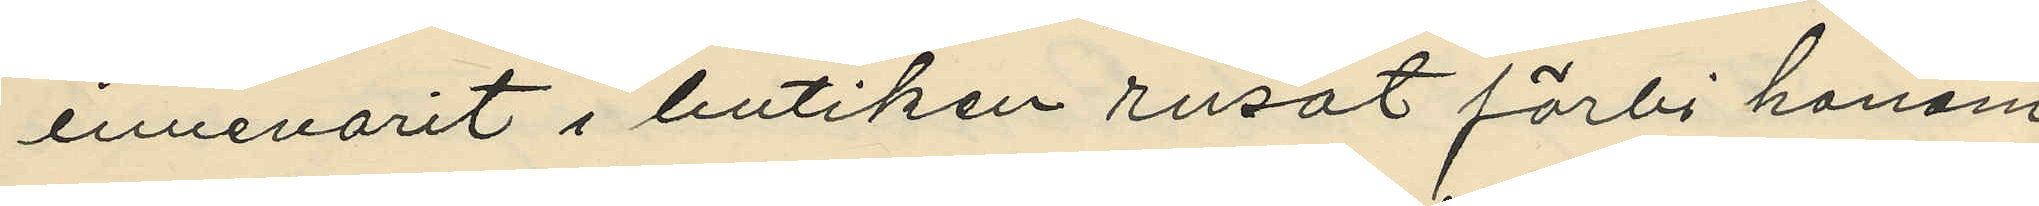innevarit i butiken rusat förbi honom
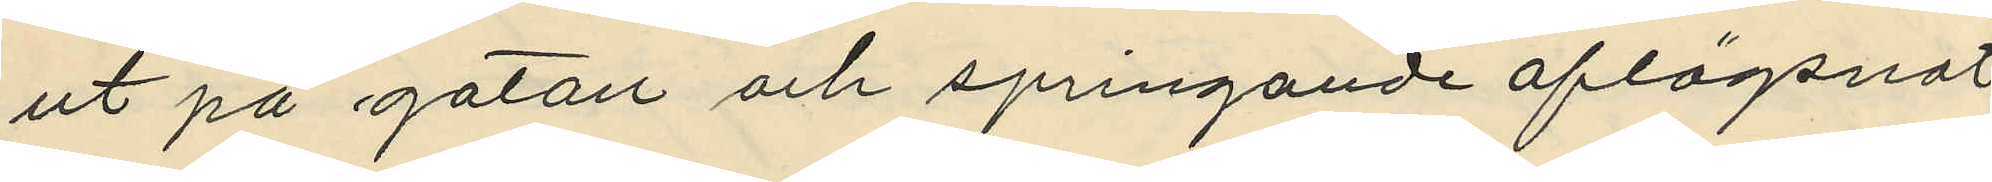ut på gatan och springande aflägsnat
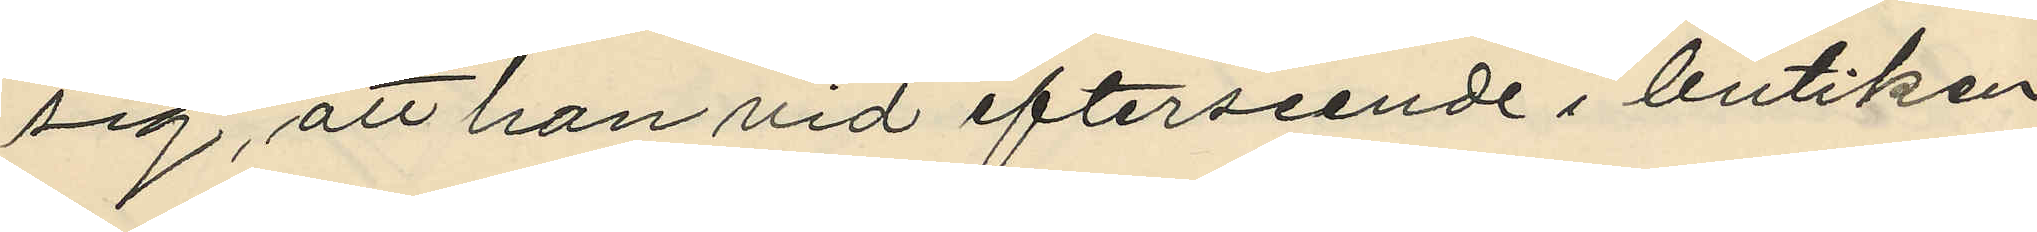sig, att han vid efterseende i butiken
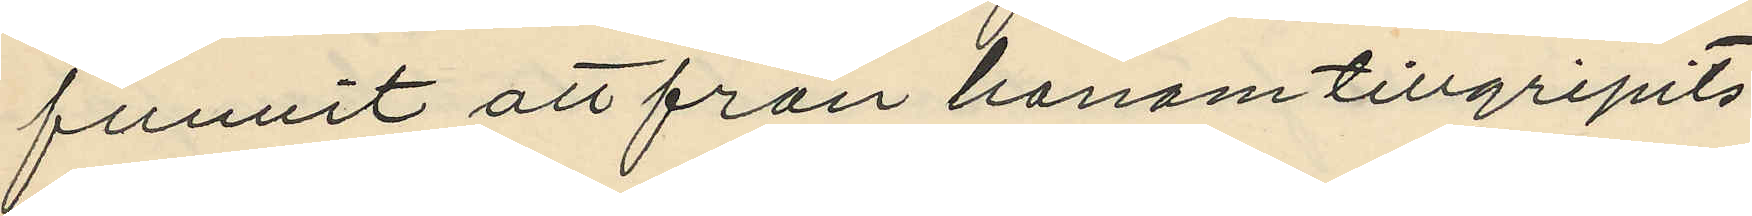funnit att från honom tillgripits:
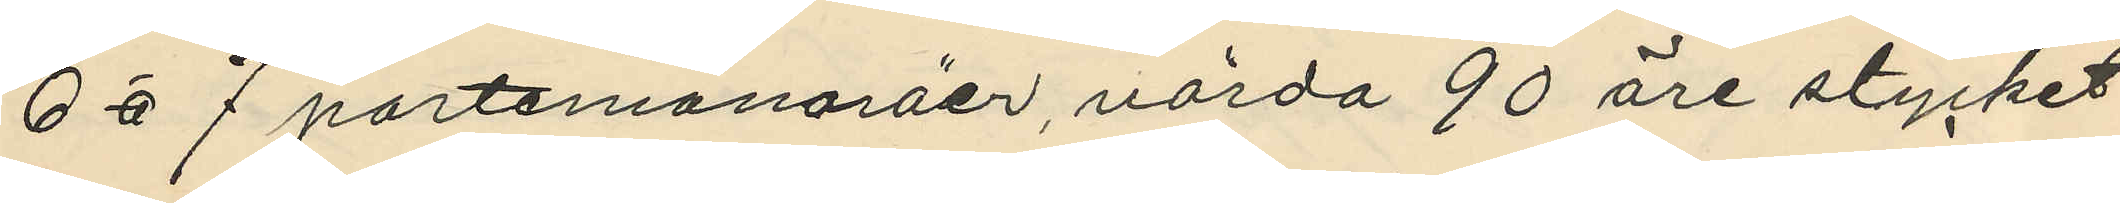6 à 7 portemonaräer, värda 90 öre stycket
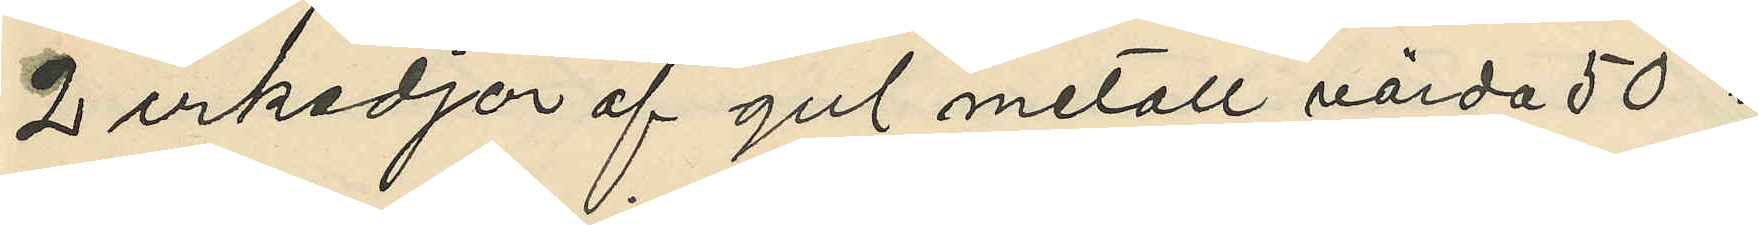2 urkedjor af gul metall värda 50 "
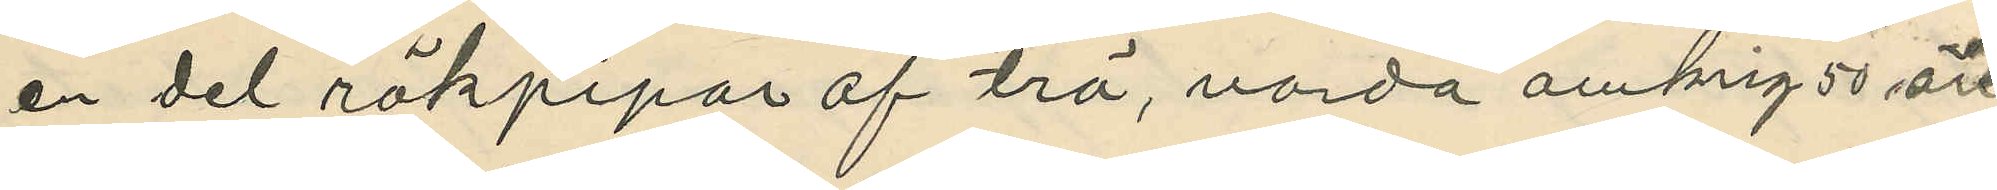en del rökpipor af trä, varda omkrig 50 öre,
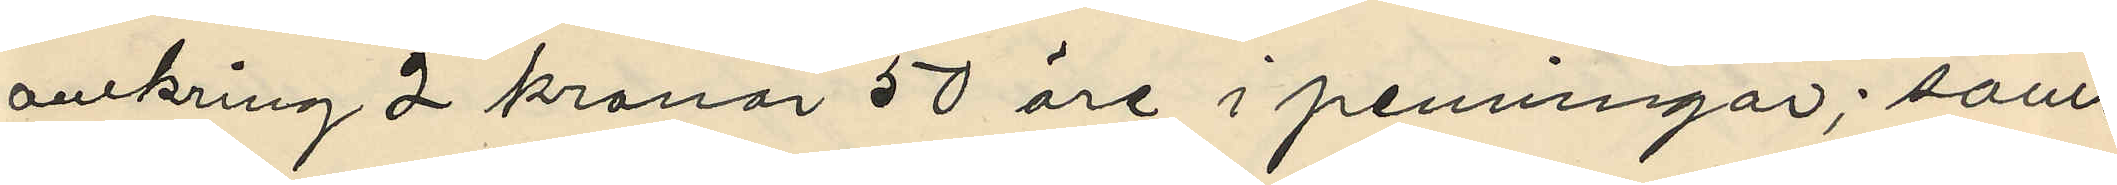omkring 2 kronor 50 öre i penningar; samt
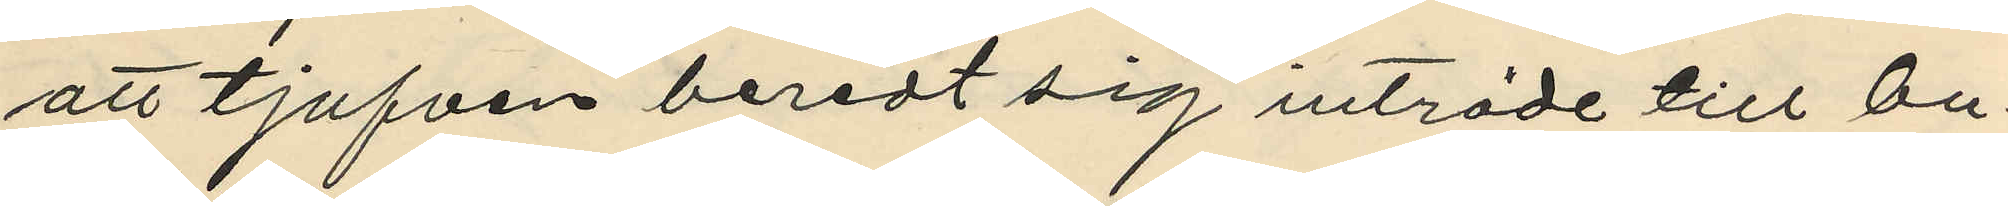att tjufven beredt sig inträde till bu¬
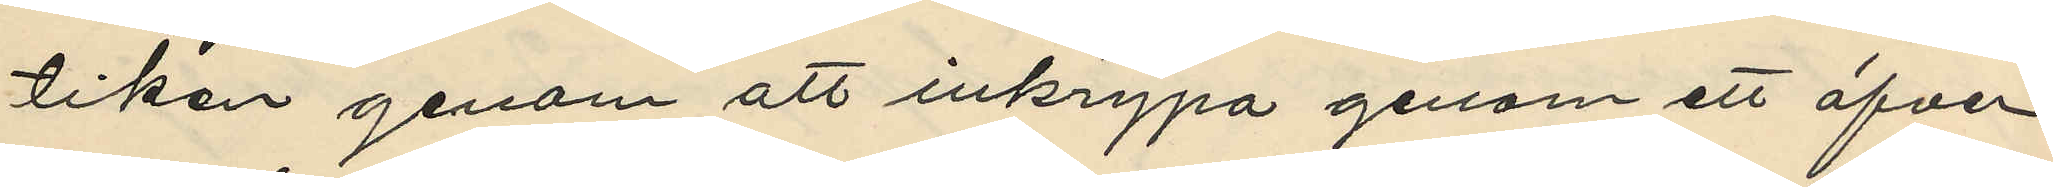tiken genom att inkrypa genom ett öfver
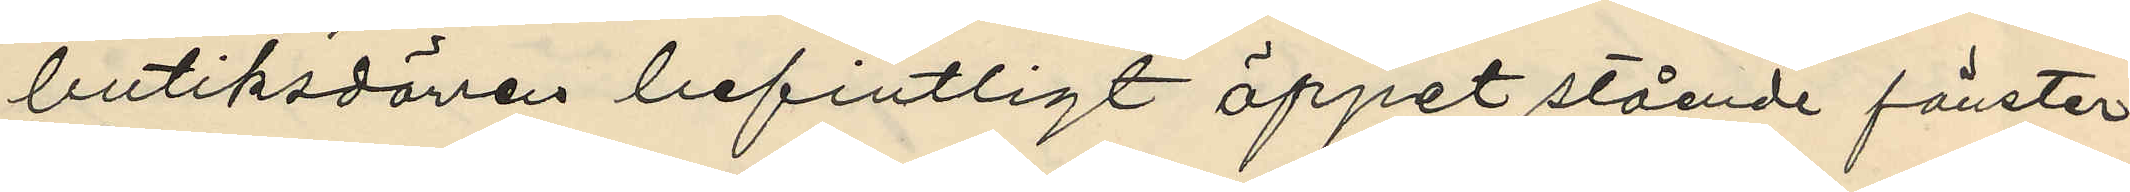butiksdörren befintligt öppet stående fönster;
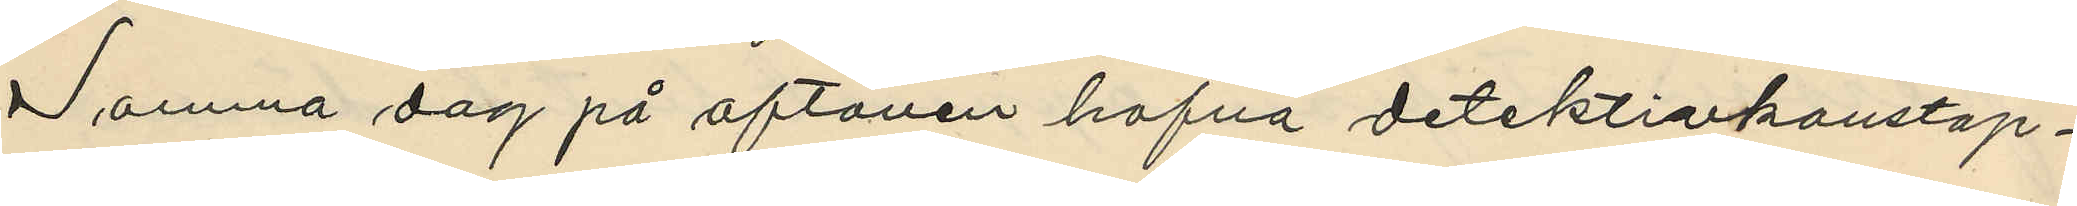Samma dag på aftonen hafva detektivkonstap¬
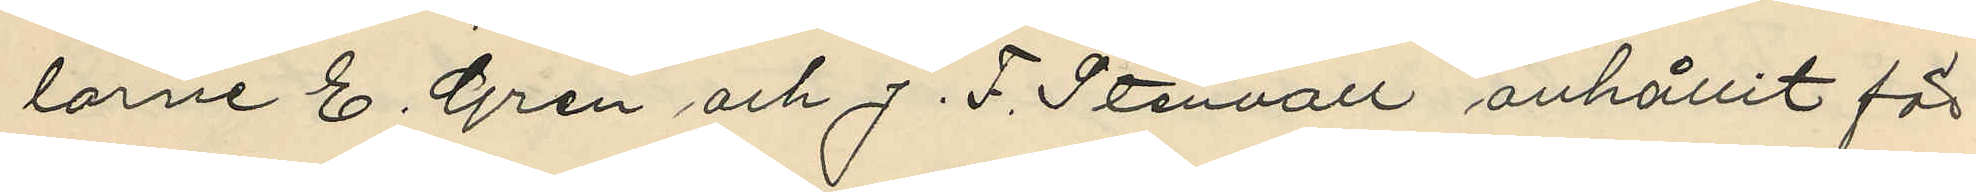larne E. Gren och J. F. Stenvall anhållit för
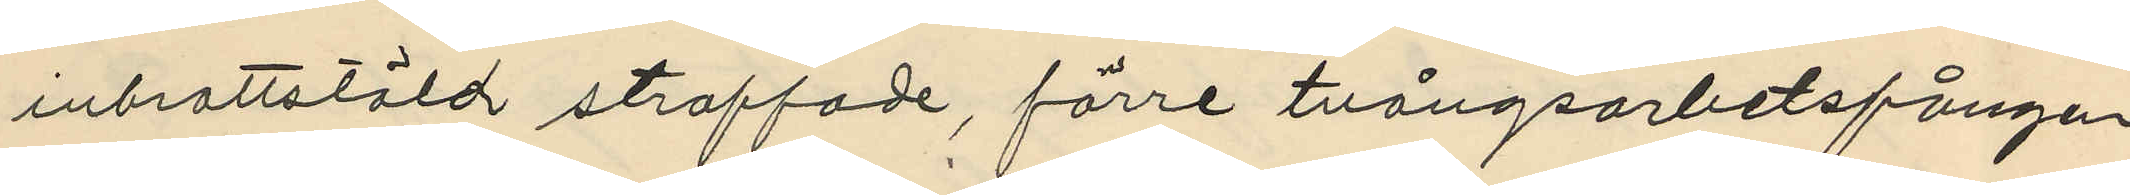inbrottstöld straffade, förre tvångsarbetsfången
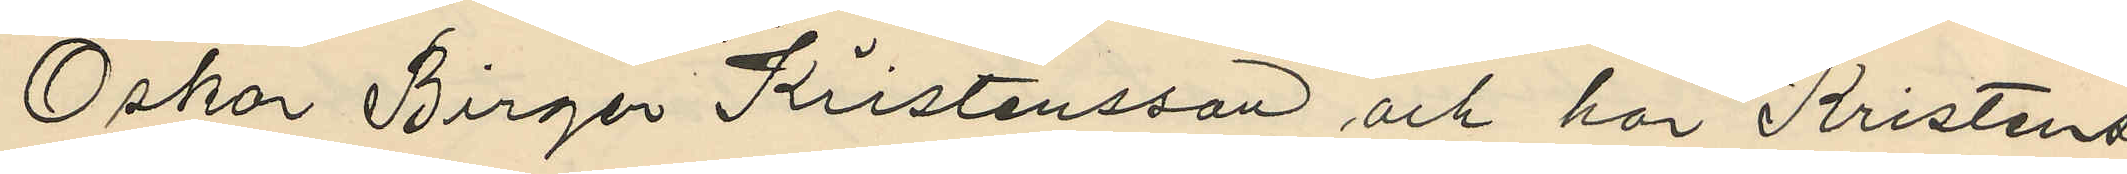Oskar Birger Kristensson och har Kristens¬
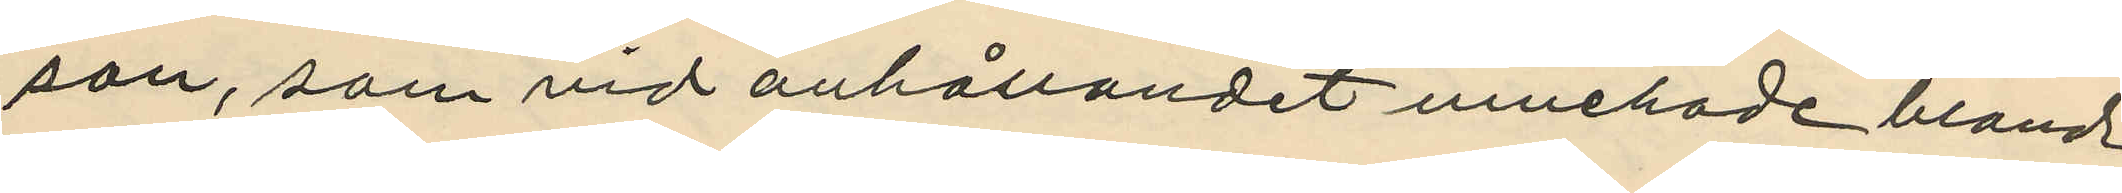son, som vid anhållandet innehade bland
